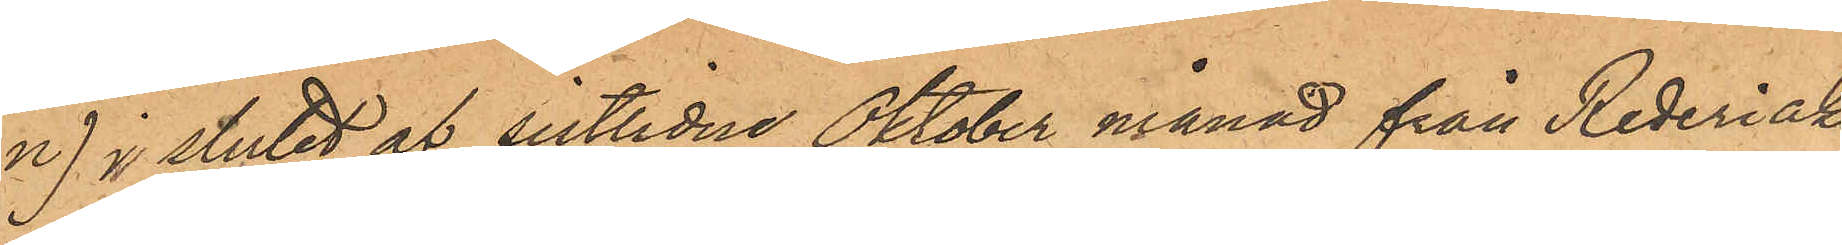n) i slutet af sistlidne Oktober månad från Rederiak¬
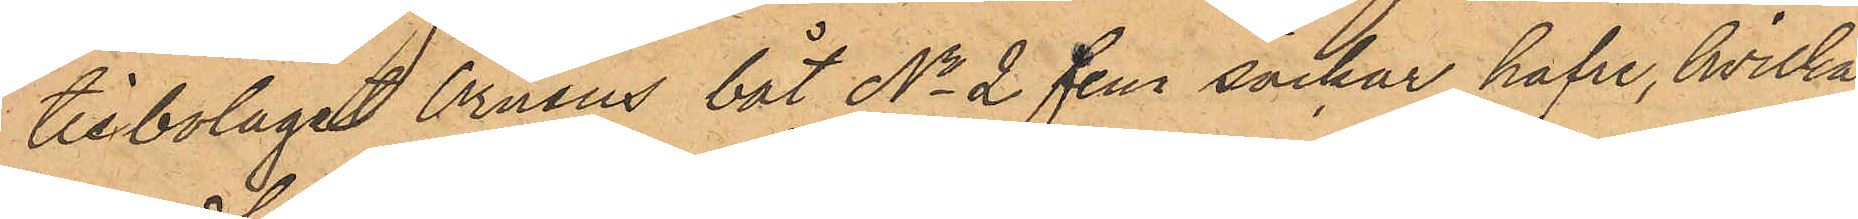tiebolaget Örnens båt No 2 fem säckar hafre, hvilka
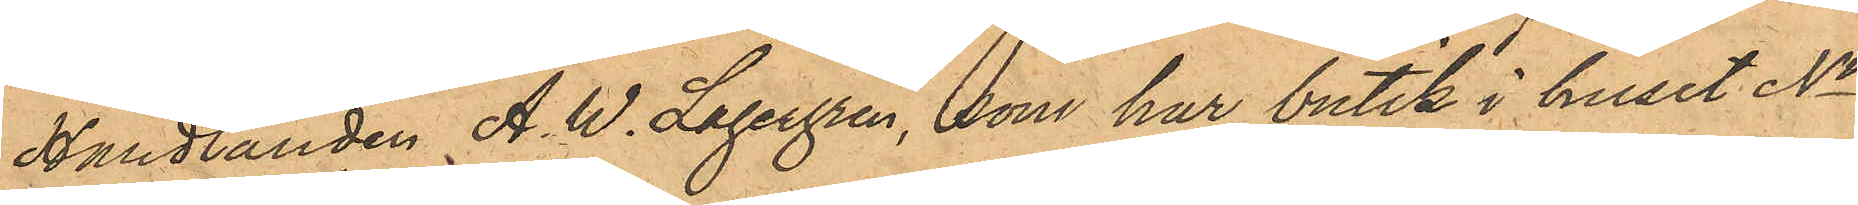Handlanden A. W. Lagergren, som har butik i huset No
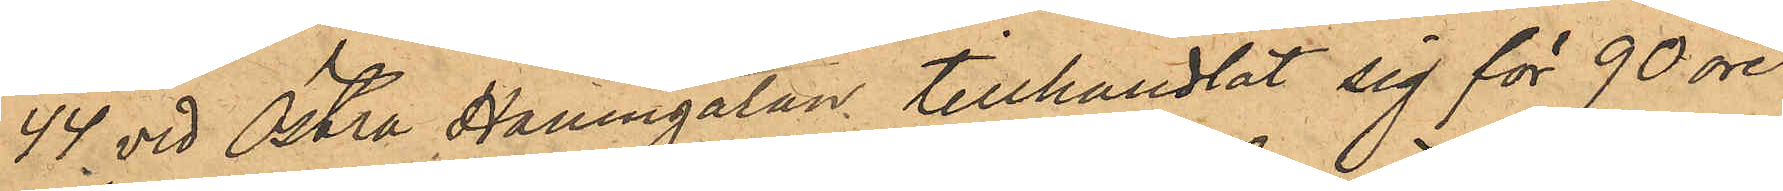44 vid Östra Hamngatan, tillhandlat sig för 90 öre
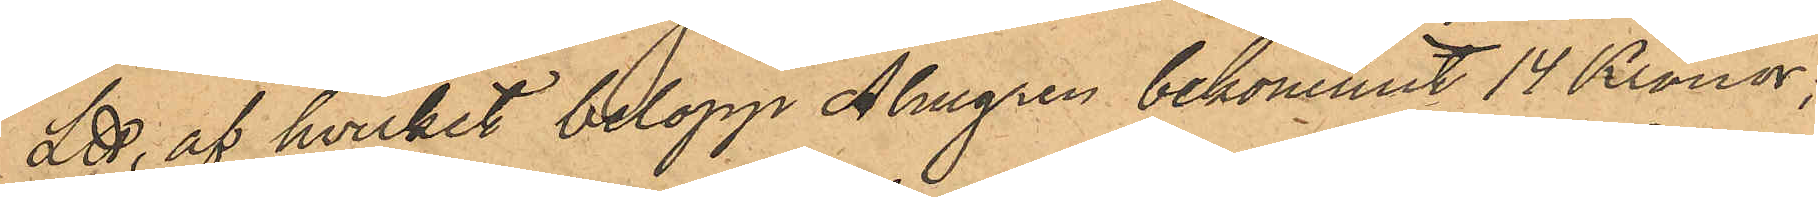L℔, af hvilket belopp Almgren bekommit 14 Kronor;
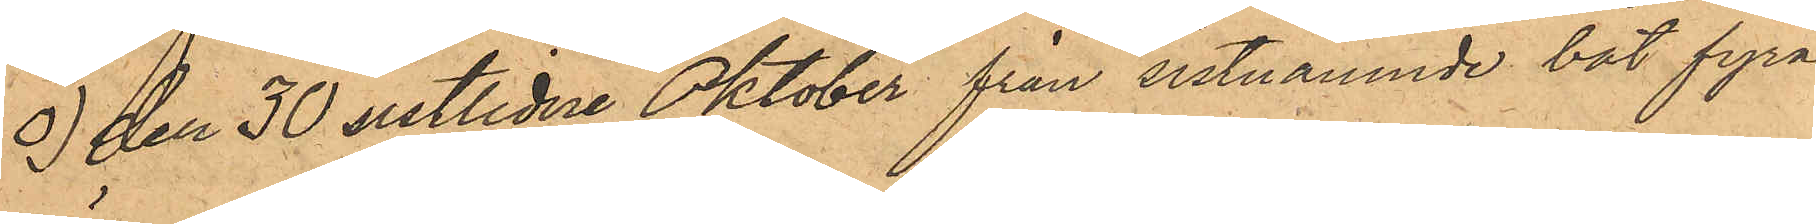o) den 30 sistlidne Oktober från sistnämnde båt fyra
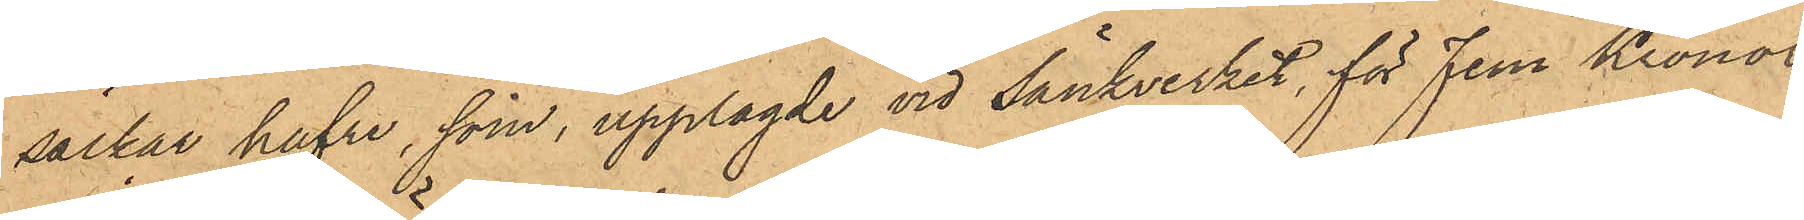säckar hafre, som, upplagde vid Sänkverket, för Fem Kronor
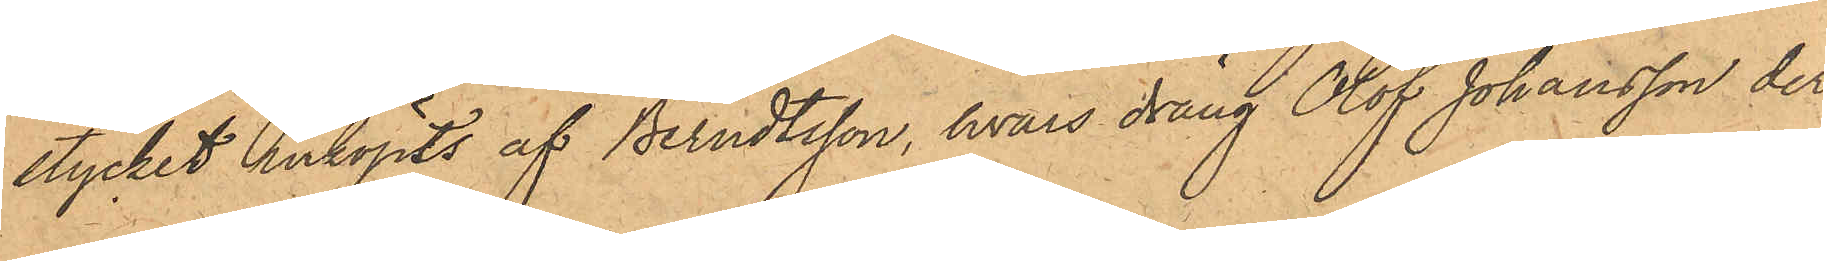stycket inköpts af Berndtsson, hvars dräng Olof Johansson der
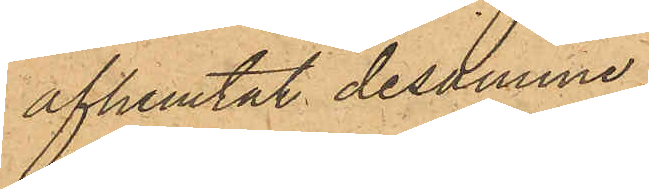afhemtat desamme;
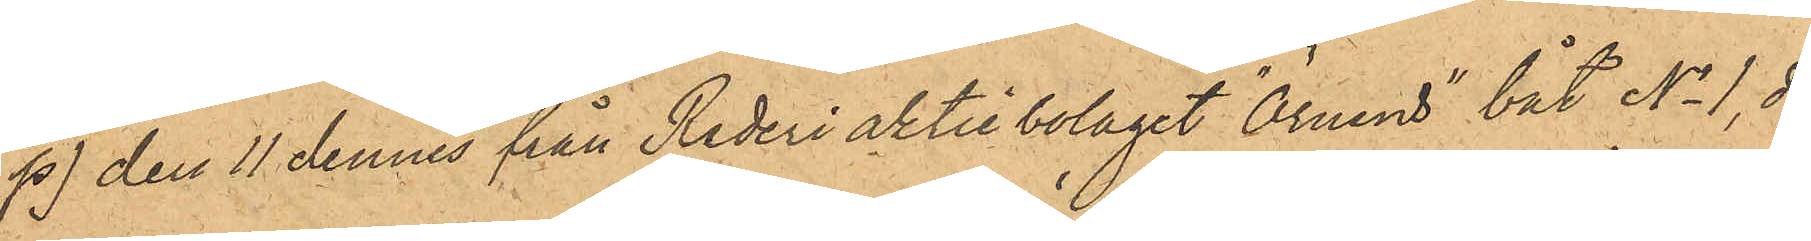p) den 11 dennes från Rederi aktie bolaget "Örnens" båt No 1, då
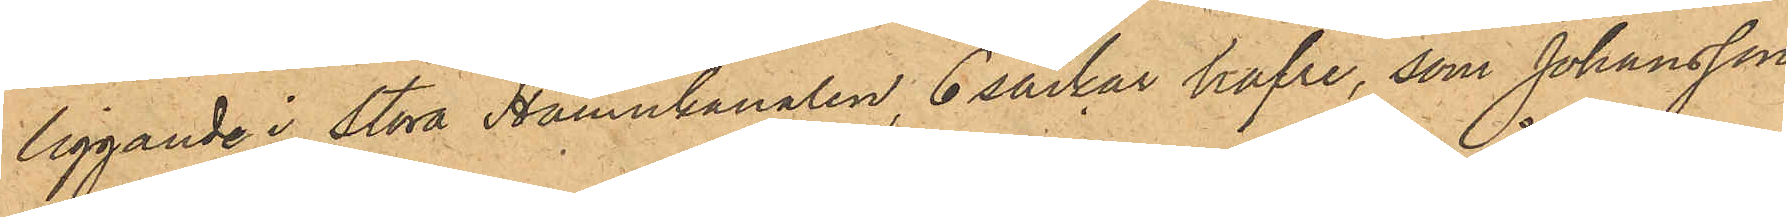liggande i Stora Hamnkanalen, 6 säckar hafre, som Johansson
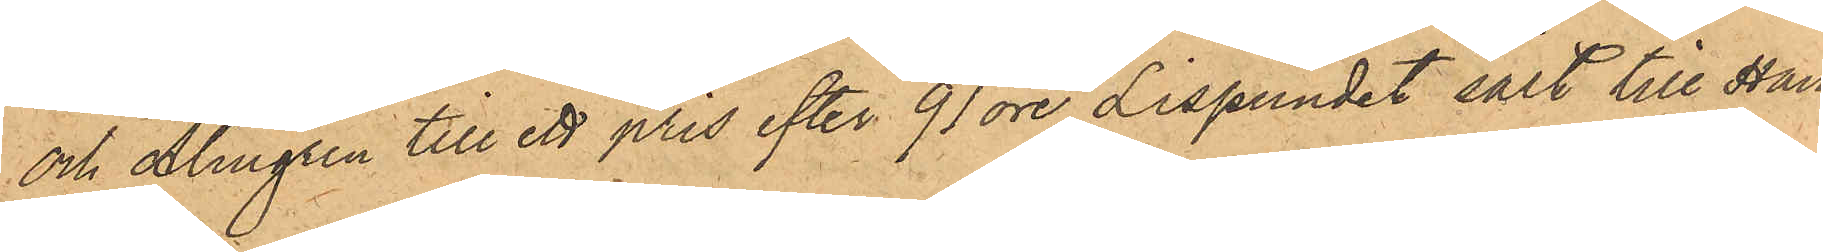och Almgren till ett pris efter 91 öre Lispundet sålt till Han¬
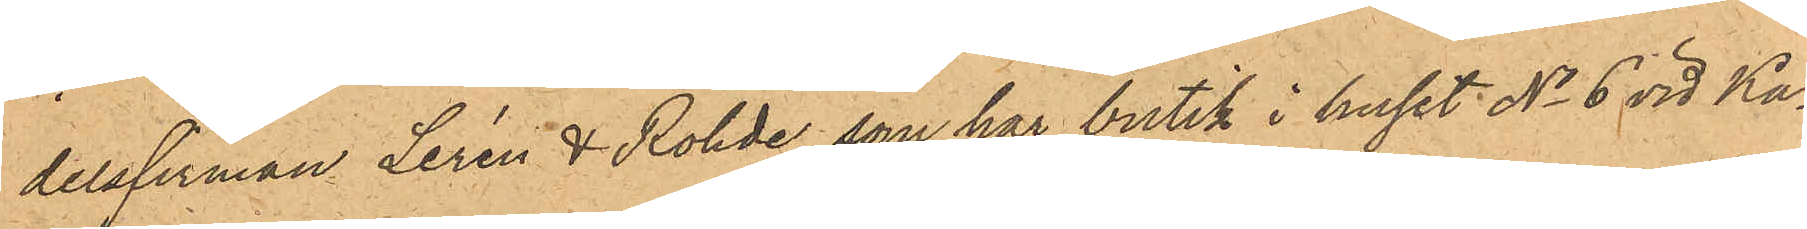delsfirman Lerén & Rohde, som har butik i huset No 6 vid Ka¬
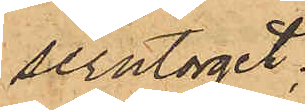serntorget;
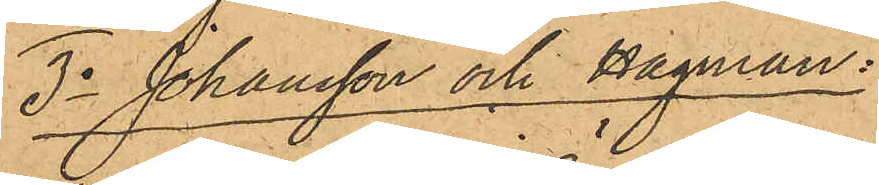3o Johansson och Hagman:
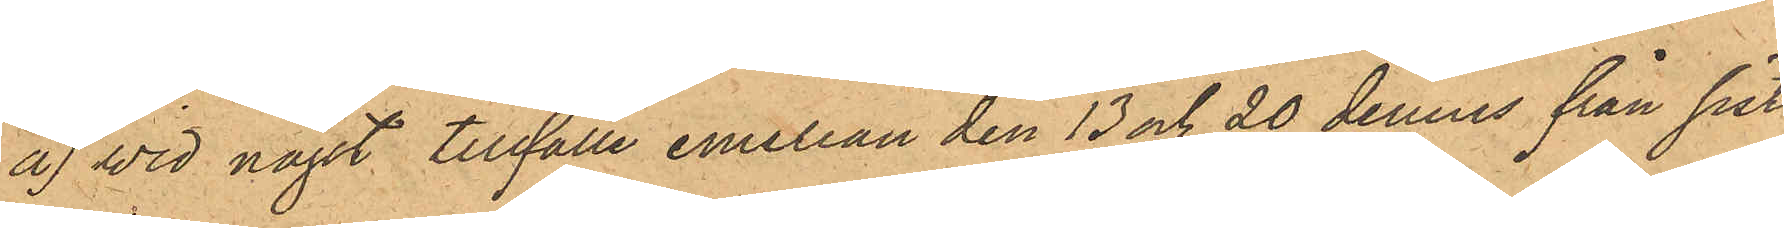a) Wid något tillfälle emellan den 13 och 20 dennes från sist¬
